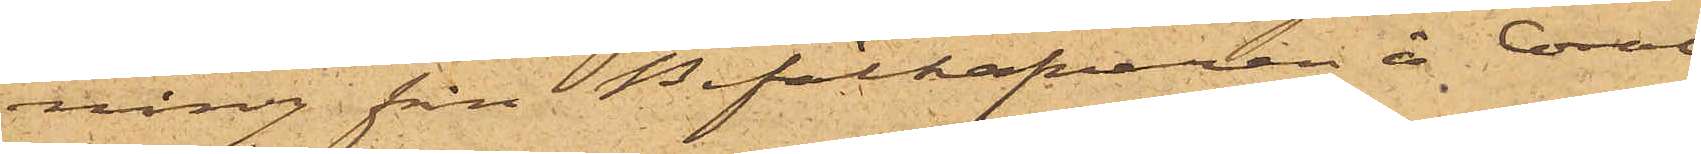ning fån Befälhafvaren å Coral
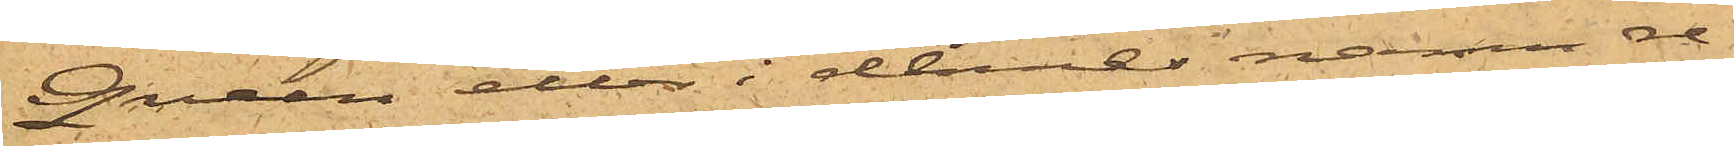Queen eller i dennes namn re¬
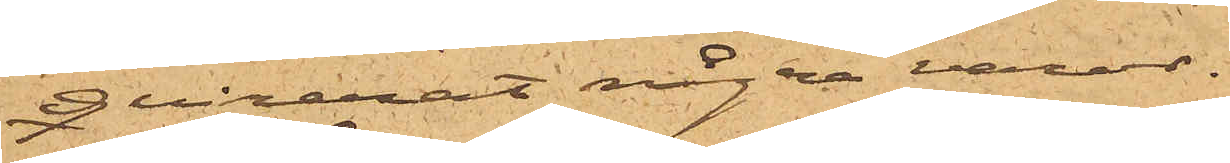qvirerat några varor.
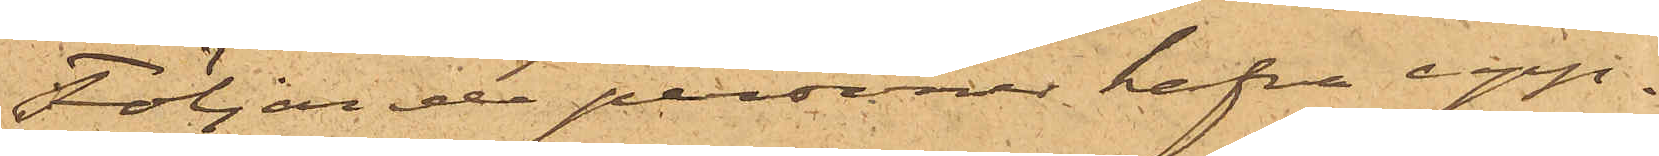Följande personer hafva upp¬
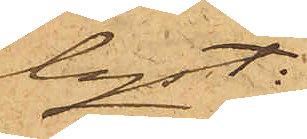lyst:
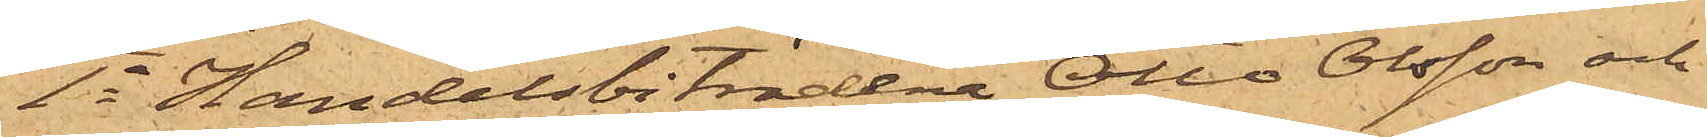1o Handelsbiträdena Otto Olsson och
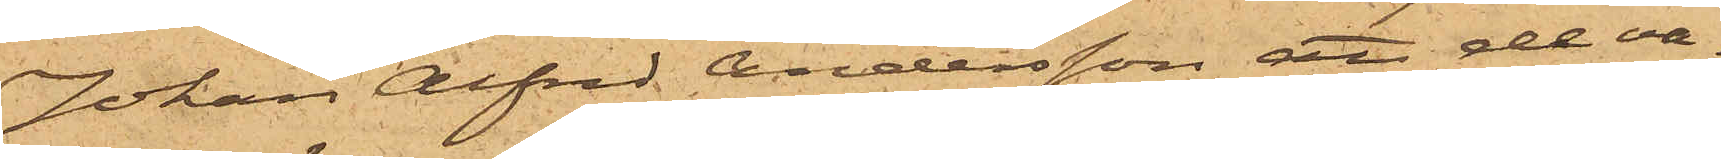Johan Alfred Andersson att de va¬
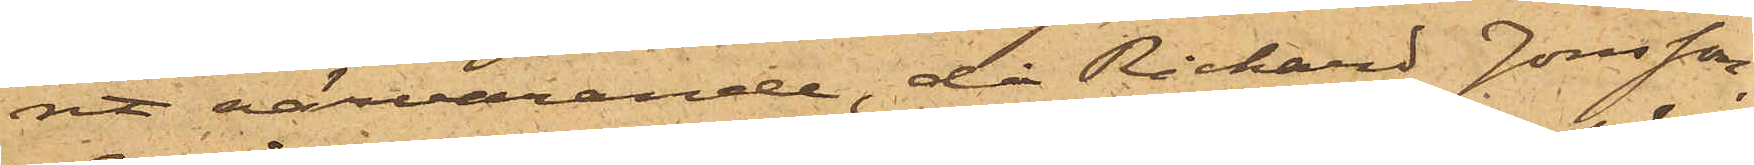rit närvarande, då Rickard Jonsson,
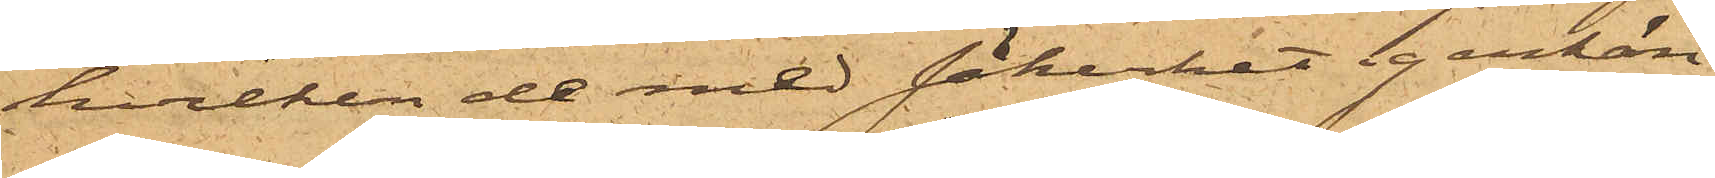hvilken de med säkerhet igenkän¬
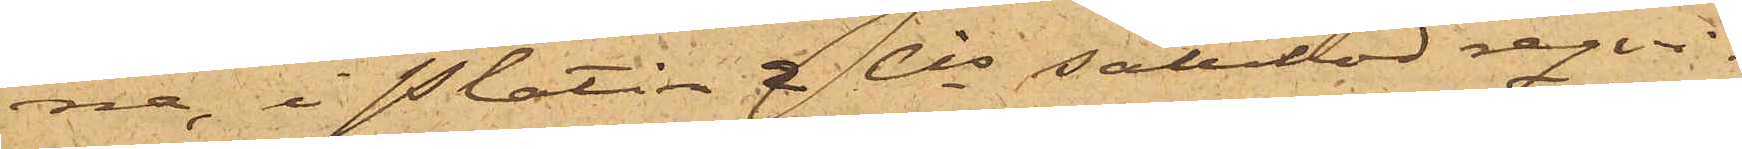na, i Platin & Cos salubod reqvi¬
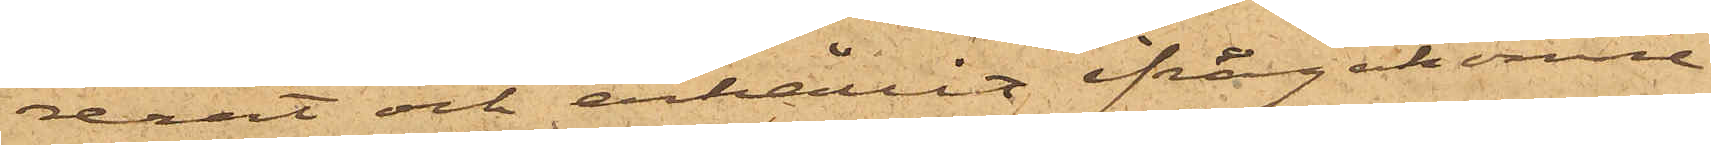rerat och erhållit ifrågakomne
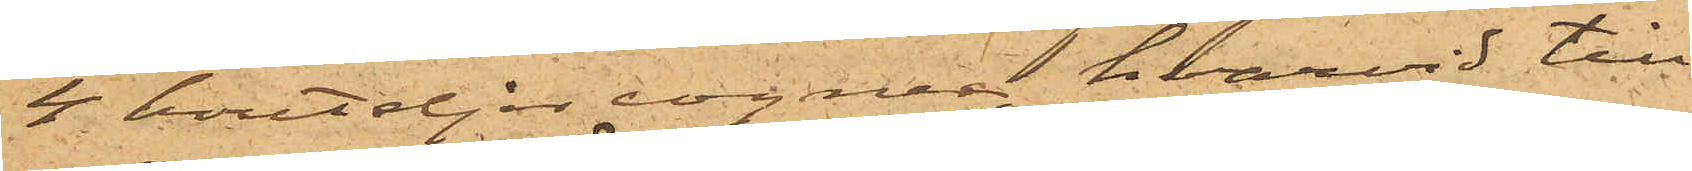4 bouteljer cognac, hvarvid till¬
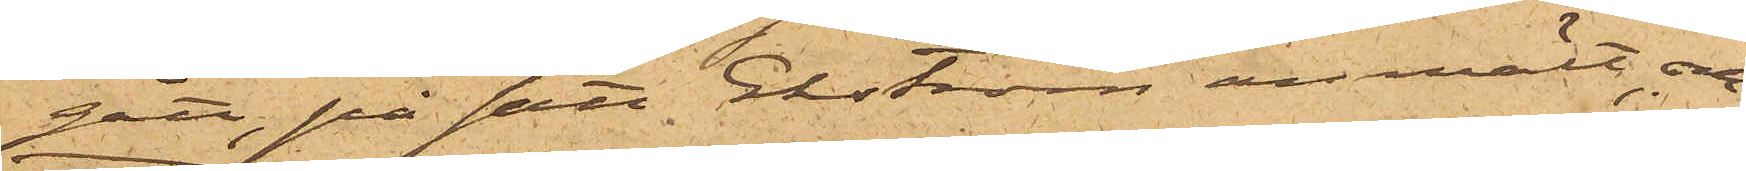gått på sätt Ekström anmält, och
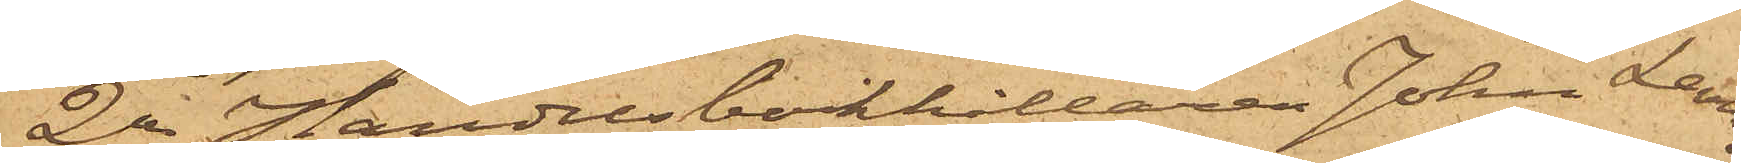2o Handelsbokhållaren John Levin,
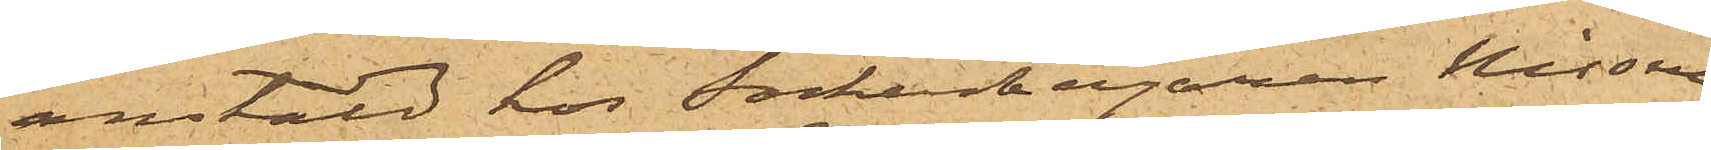anstäld hos Sockerbagaren Nissen,
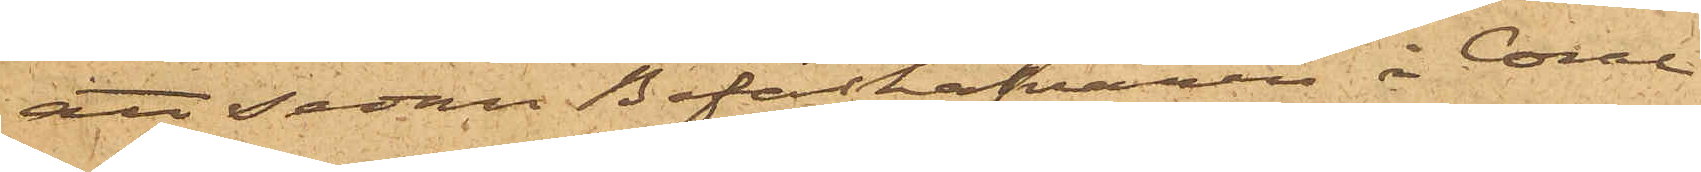att sedan Befälhafvaren å Coral
